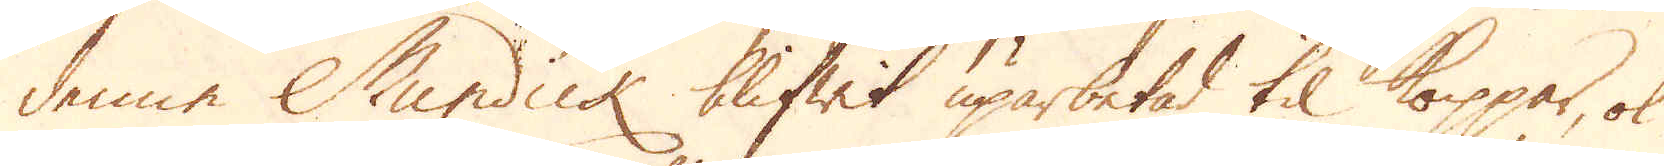denne Mundick blifwit uparbetad til koppar, ok
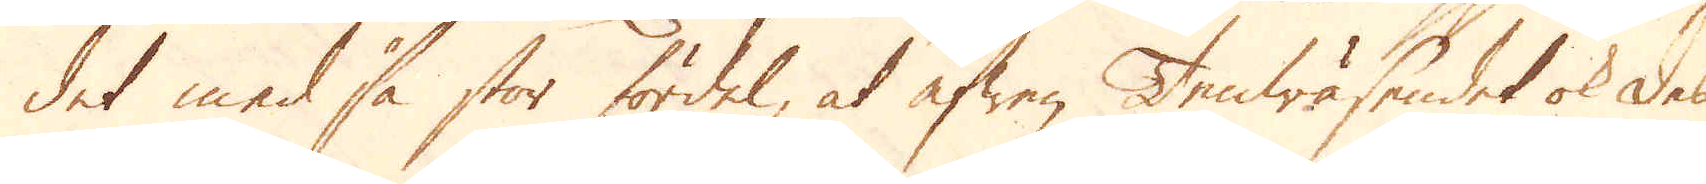det med så stor fördel, at äfwen Tenwäsendet ok des
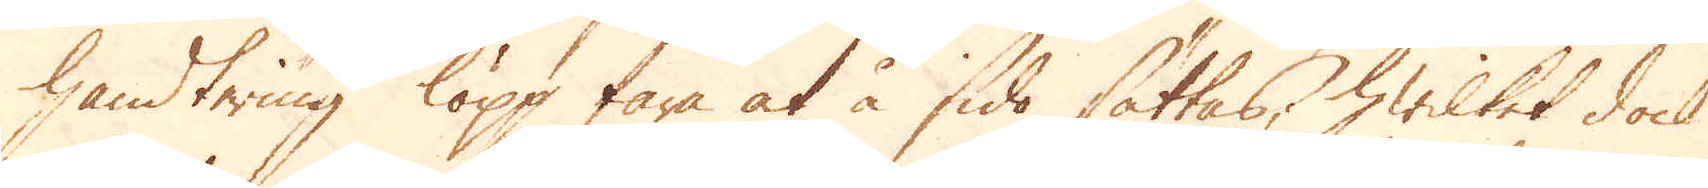handtering löpp fara at å sido sättas, hwilket dock
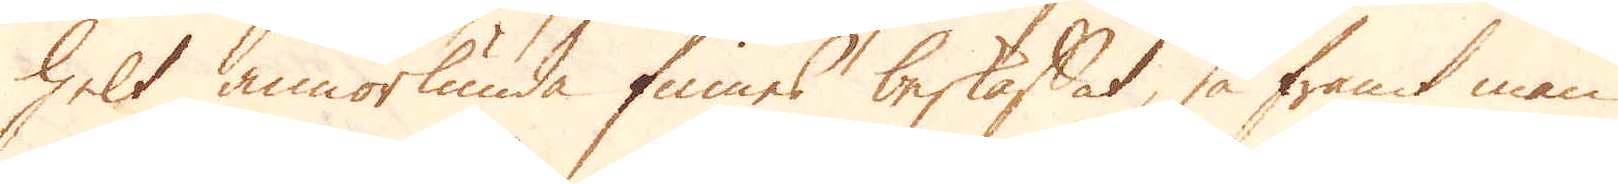helt annorlunda finnes beskaffat, så framt man
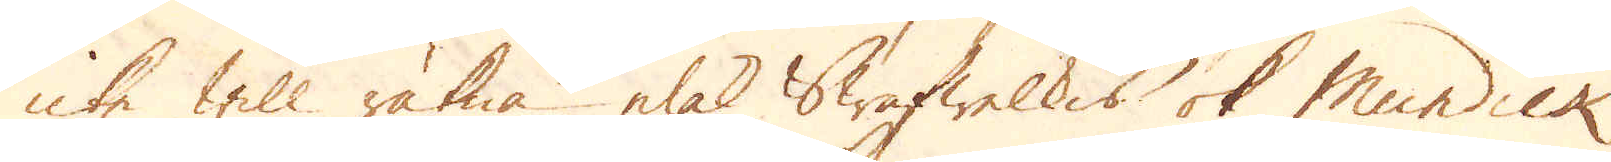icke will räkna elak Swafwelkis ok Mundick
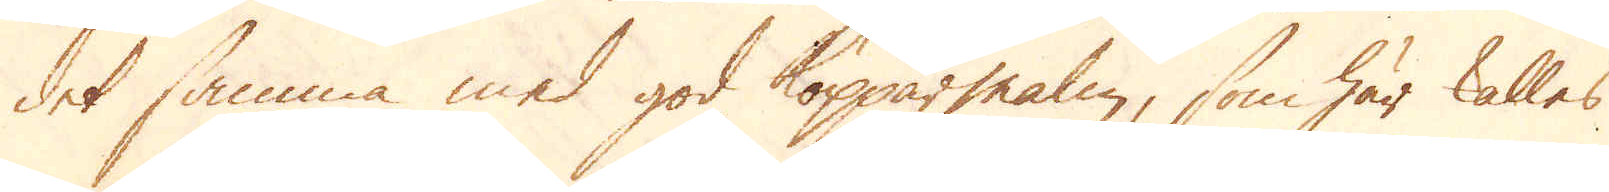det samma med god Kopparmalm, som här kallas
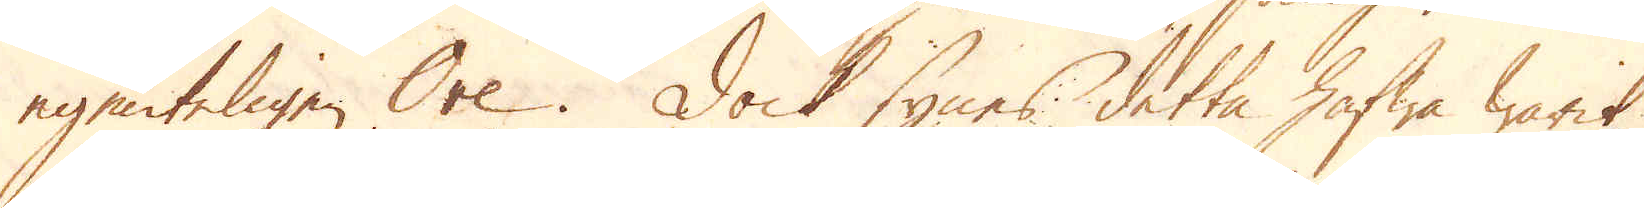egenteligen Ore. Dock synes detta hafwa warit
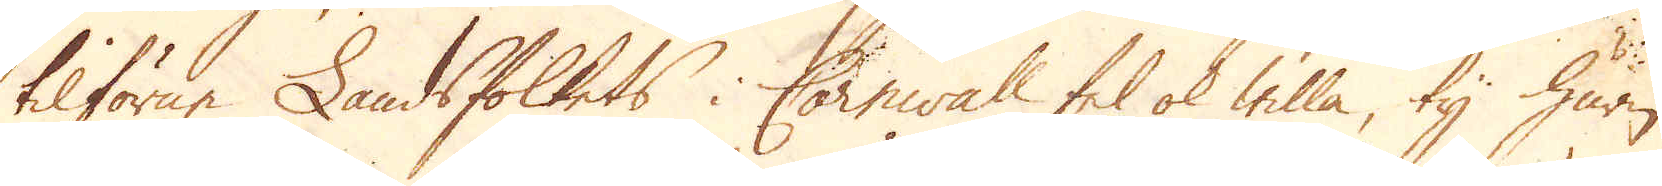tilförne Landsfolkets i Cornwall fel ok willa, ty huru
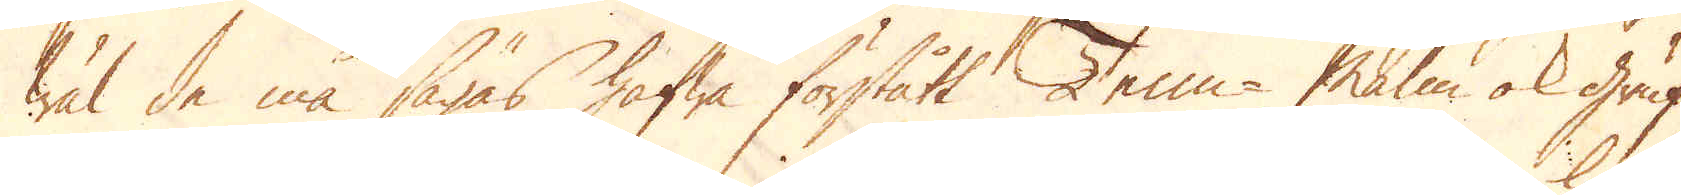wäl de må sägas hafwa förstått Tenn-Malm ok gruf-
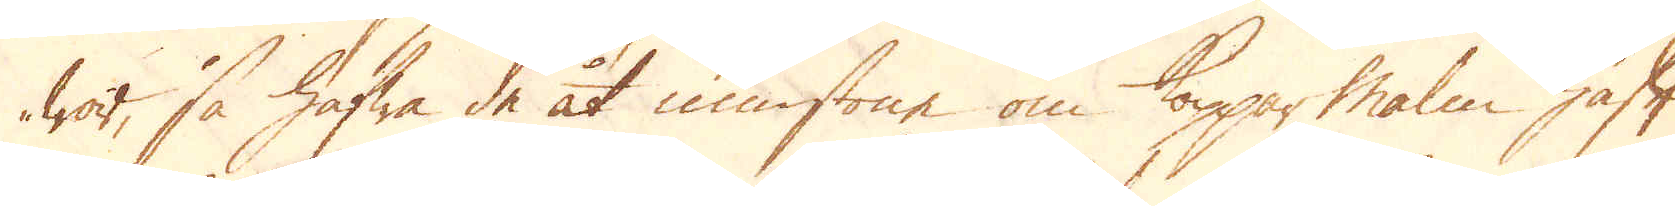wor, så hafwa de åt minstone om Kopparmalm haft
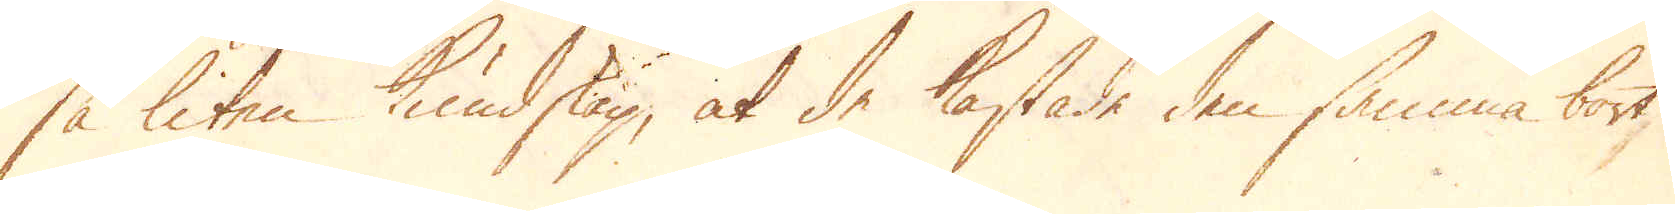så liten kundskap, at de kastade den samma bort
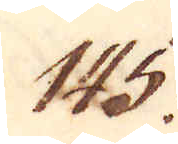145.
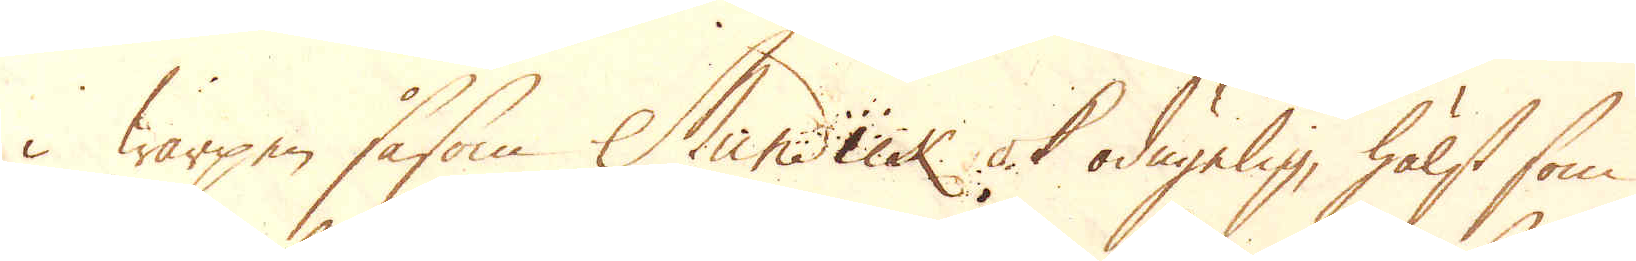i warpen såsom Mundick ok odugelig, hälst som
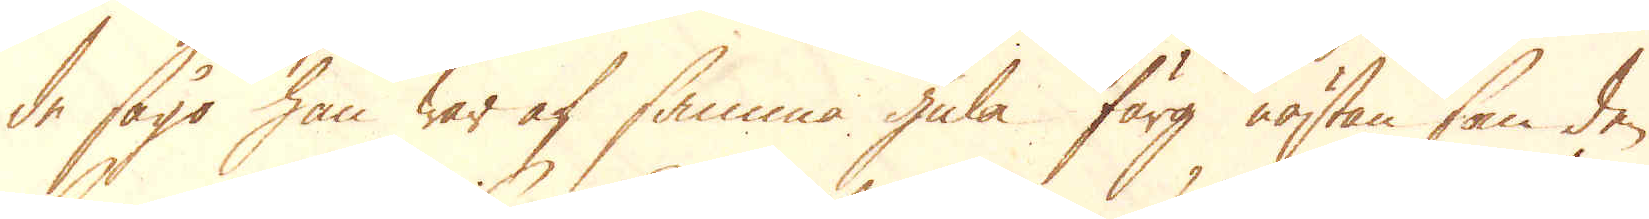de sågo han war af samma gula färg nästan som den
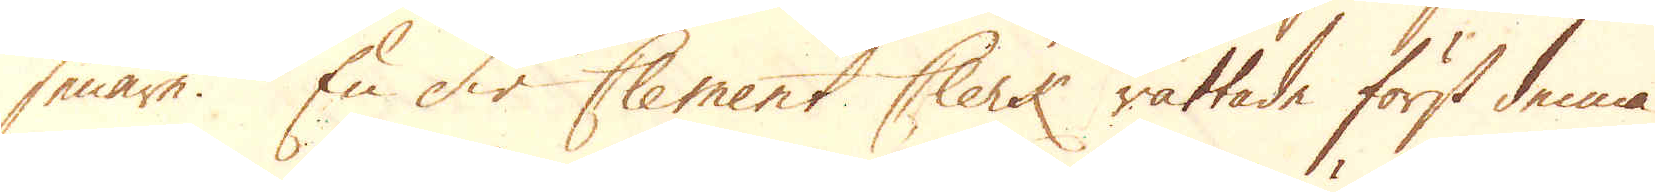senare. En Sir Clement Clerk rättade först denna
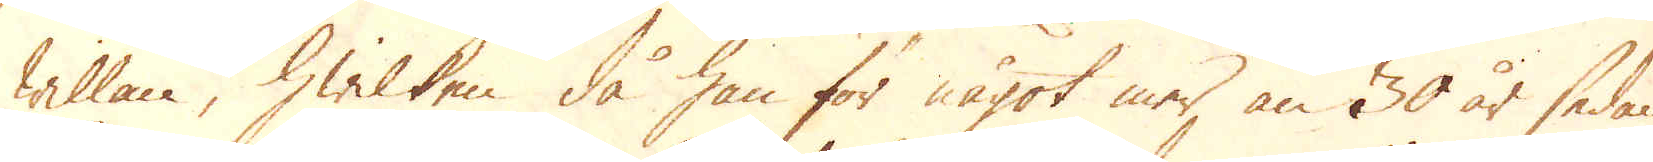willan, hwilken då han för något mer än 30 år sedan
